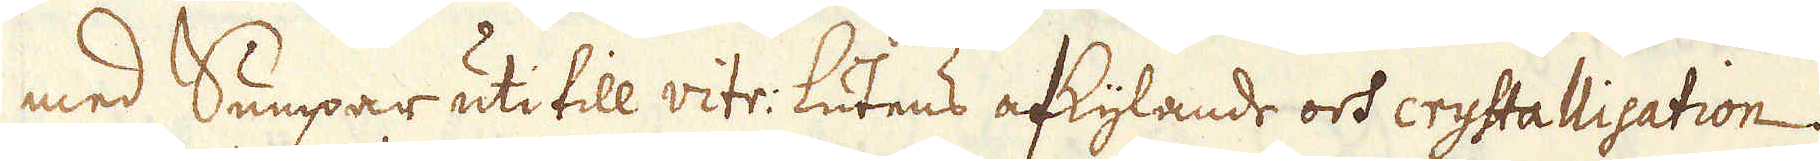med Sumpar uti till vitr: lutens afkylande och crystallisation;
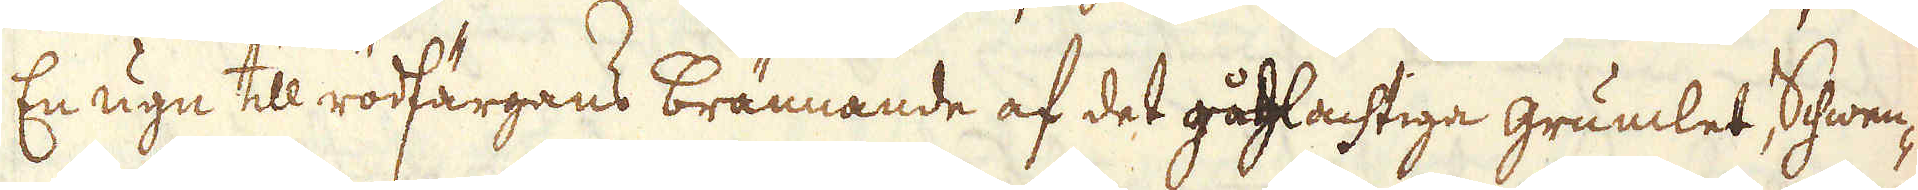En ugn till rödfärgans brännande af det gåhlachtiga grumlet Schwen-
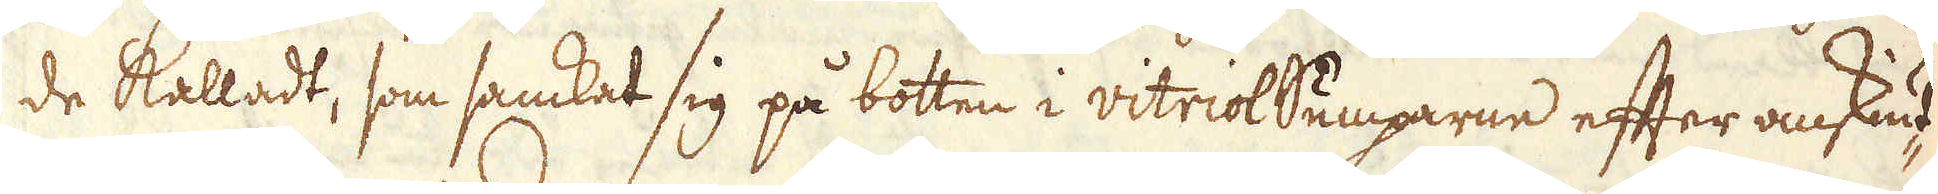de kalladt, som samkat sig på botten i vitriolSumparne efter omskiut-
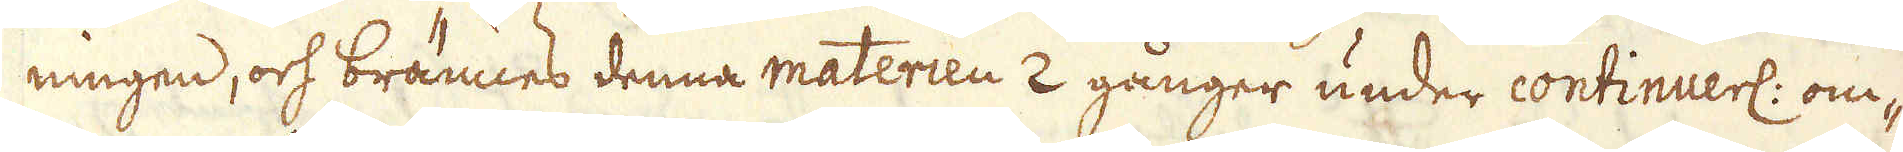ningen, och brännes denna materien 2 gånger under continuerl: om-
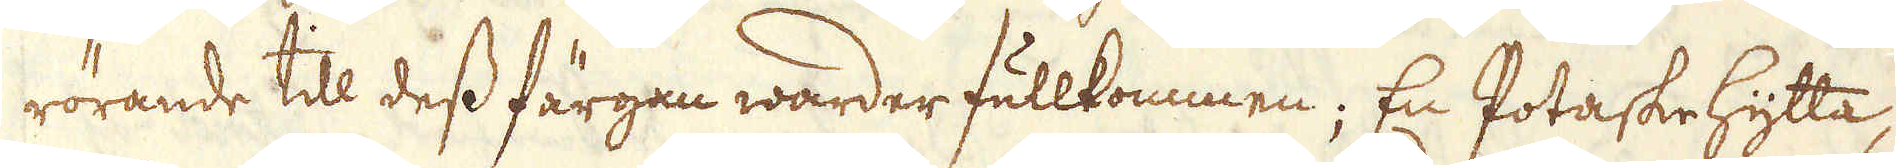rörande till dess färgan warder fullkommen; En Potaskehytta,
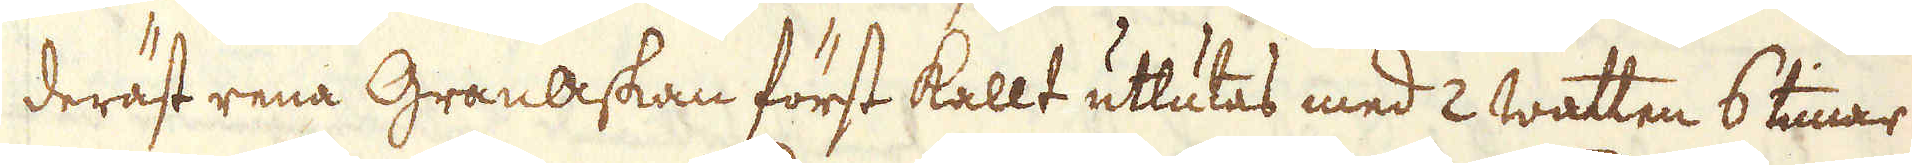deräst rena Granaskan först kallt utlutas med 2 watten 6 timar
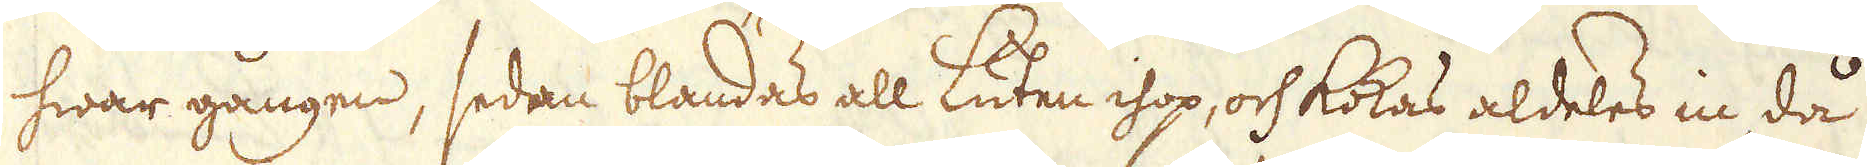hwar gången, sedan blandas all Luten ihop, och kokas aldeles in, då
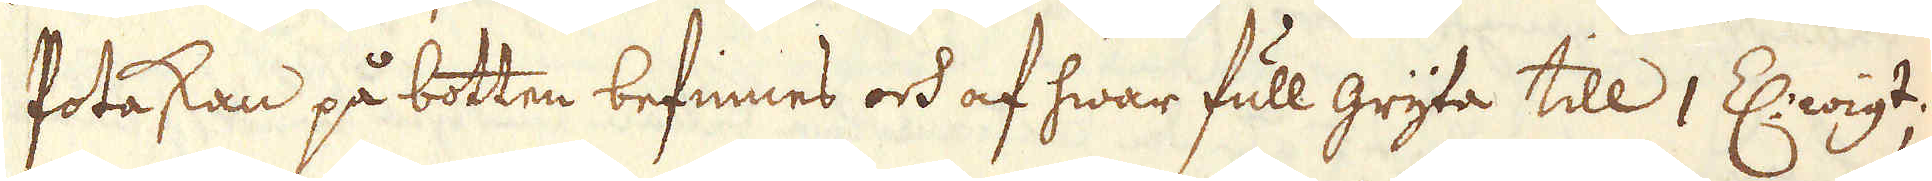Potaskan på botten befinnes och af hwar full gryta till 1 Z: wigt.
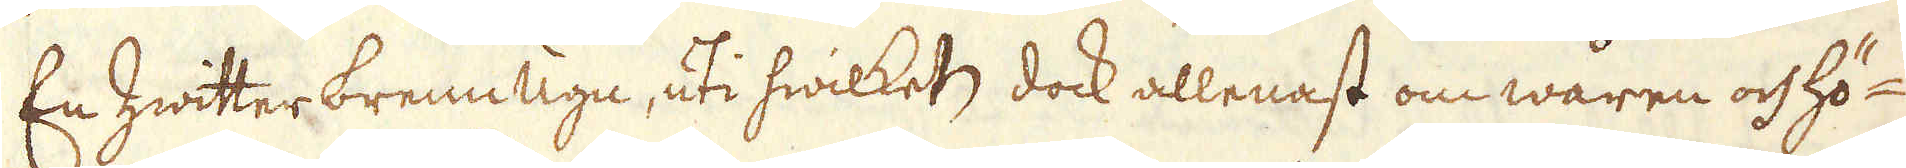En Zwitter brenn ugn, uti hwilket, dock allenast om wåren och hö-
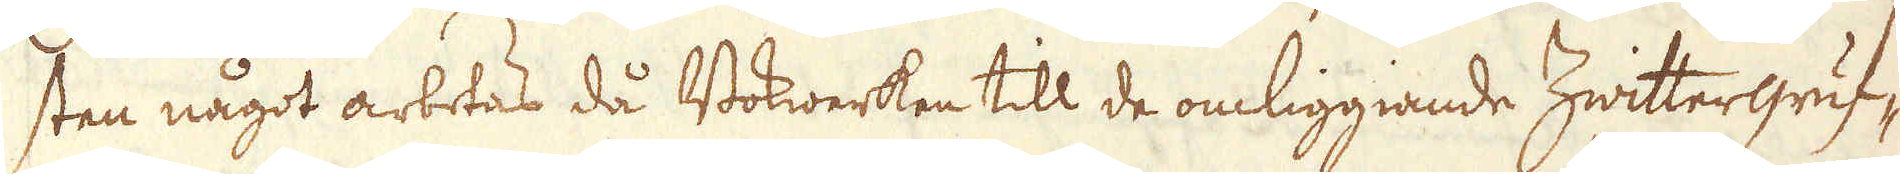sten något arbetas då Bokwerken till de omliggiande Zwittergruf-
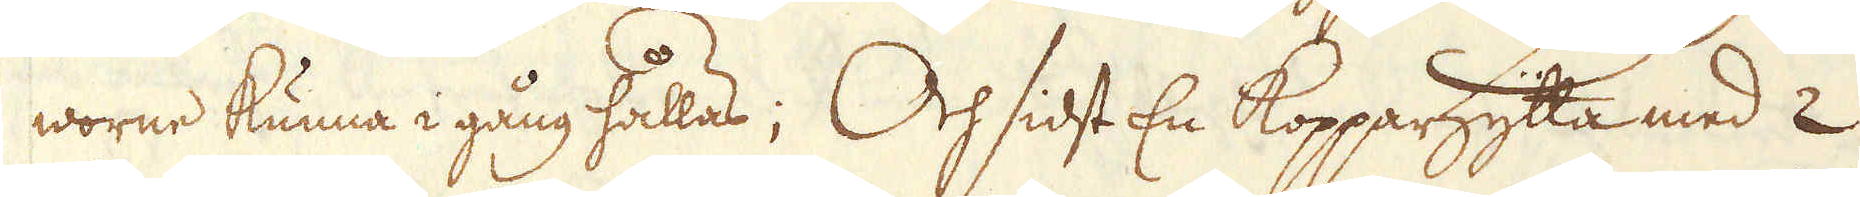worne kunna i gång hållas; Och sidst En Kopparhytta med 2
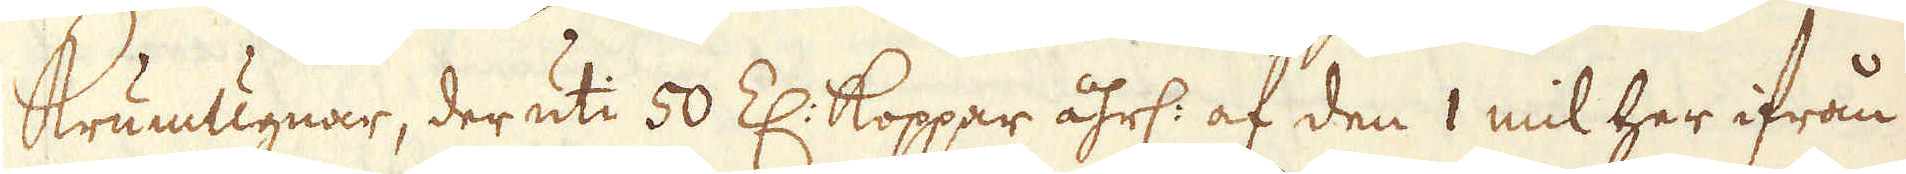Krumugnar, der uti 50 Z: Koppar åhrl: af den 1 mil her ifrån
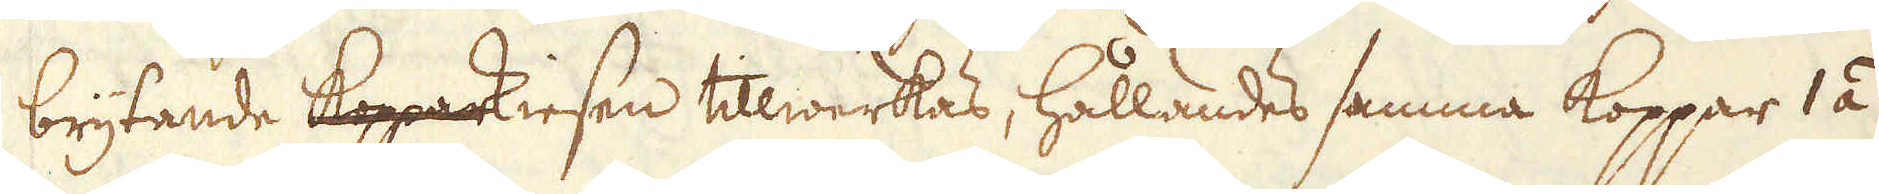brytande kopparkiesen tillwerkas, hållandes samma koppar 1 á
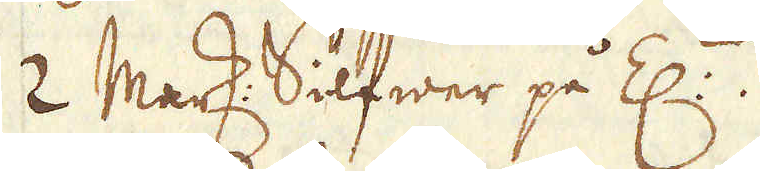2 Mark: Silfwer på Z:n.
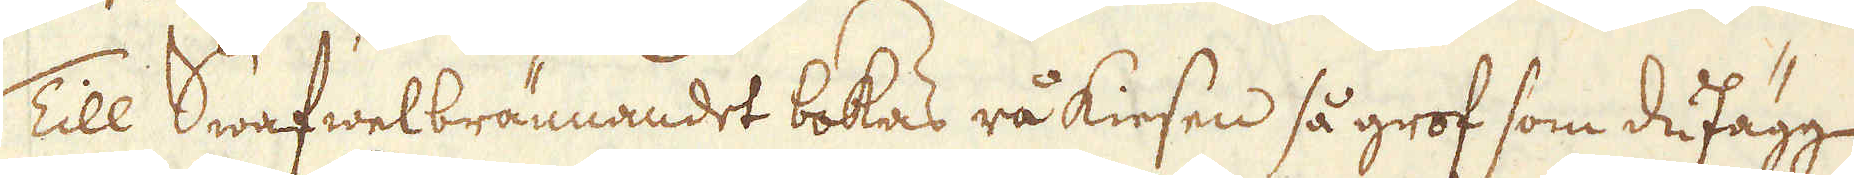Till Swafwelbrännandet bokas rå kiesen så grof som dufägg
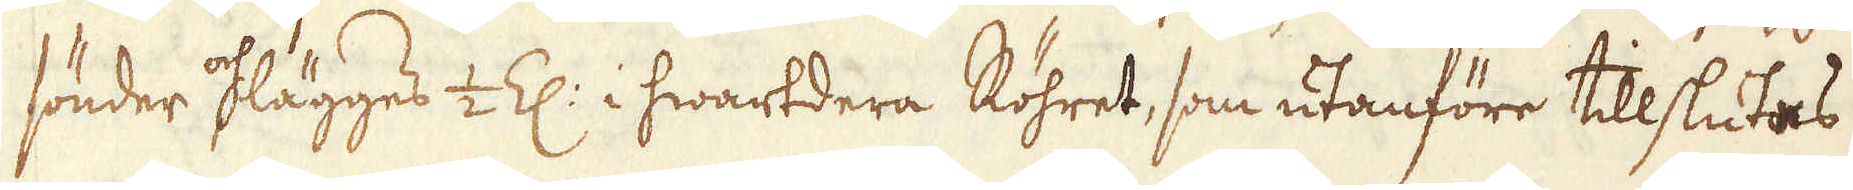sönder och lägges 1/2 Z: i hwartdera Röhret, som utanföre tillslutas
